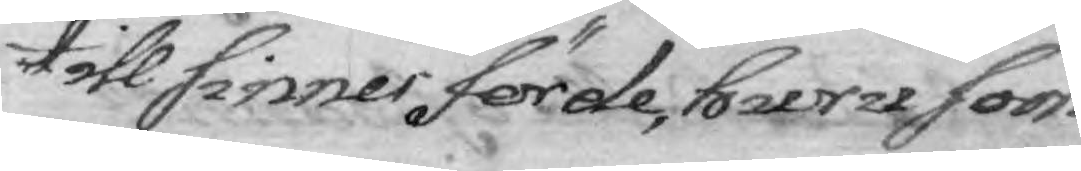till sinner förde, huru som
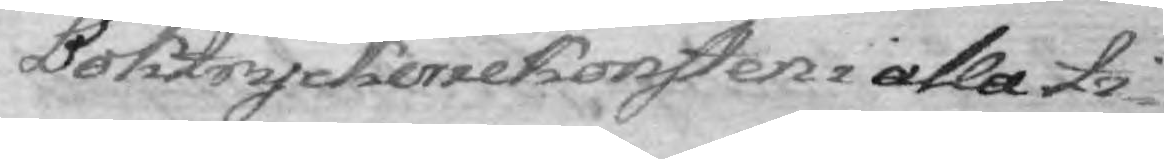Boktryckeriekonsten i alla ti¬
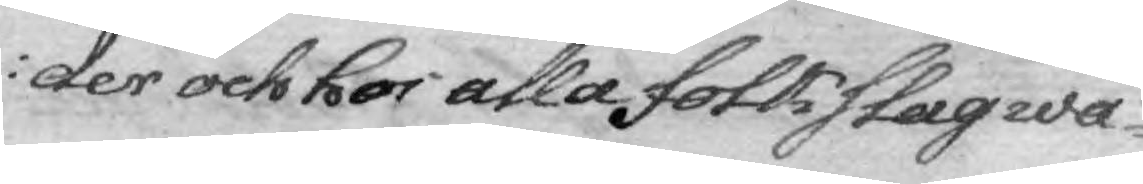der och hos alla folkslag wa¬
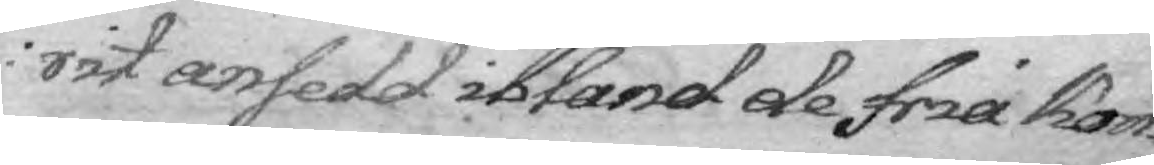rit ansedd ibland de fria kon¬
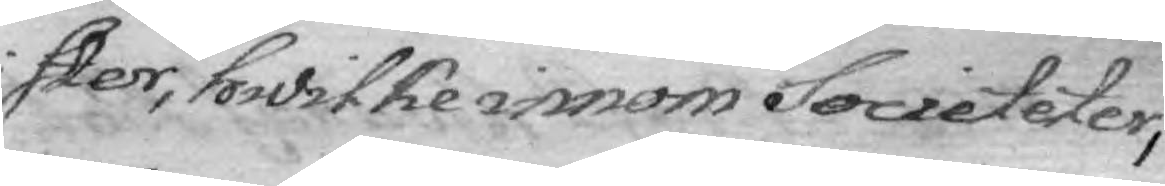ster, hwilke innom Societeter,
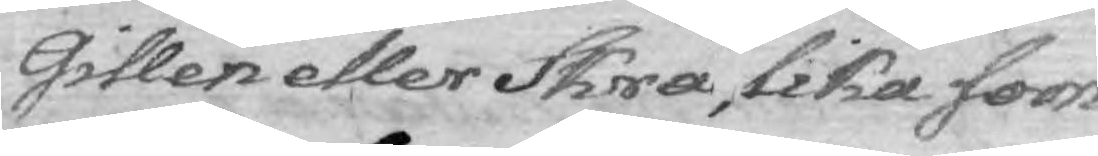Gillen eller Skrå, lika som
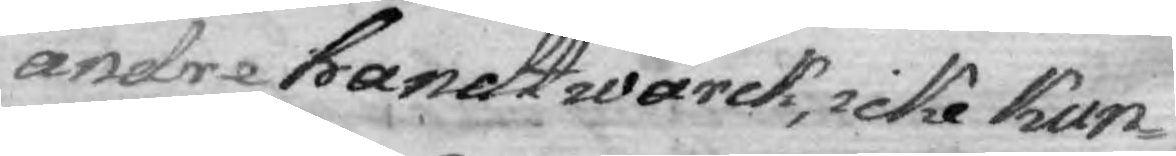andre handtwärck, icke kun¬
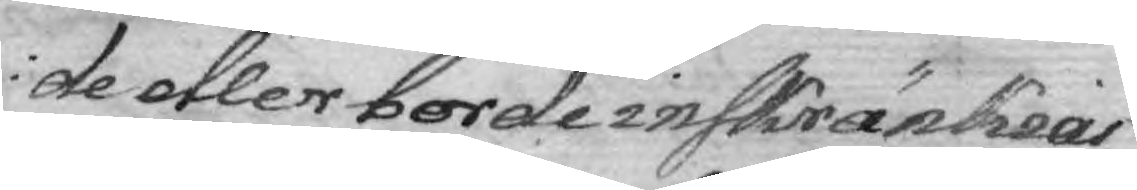de eller borde inskränkias
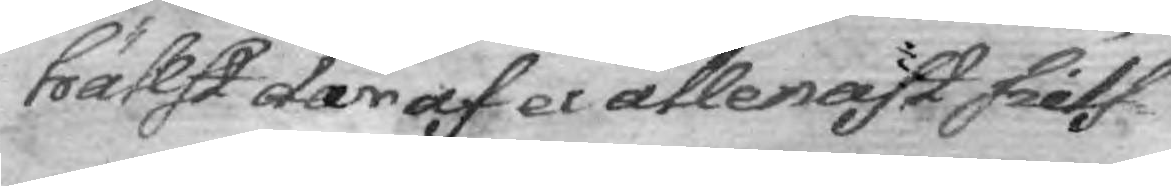hälst där af ei allenast sielf¬
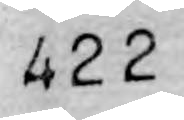422
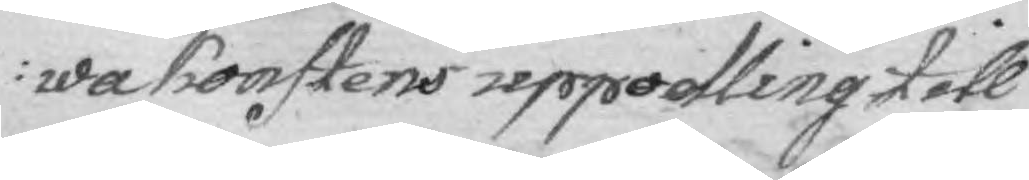wa konstens uppodling till
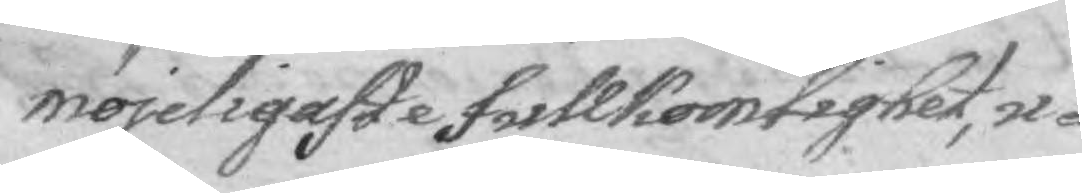möjligaste fullkomlighet, u¬
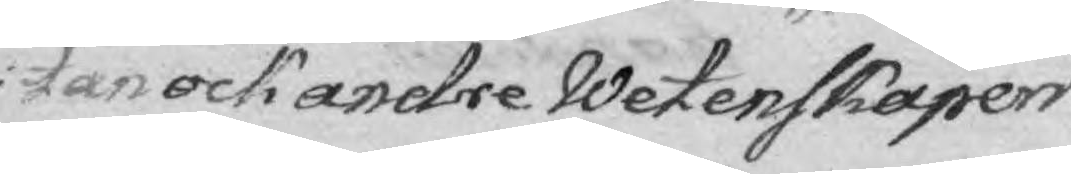tan ock andre Wetenskapers
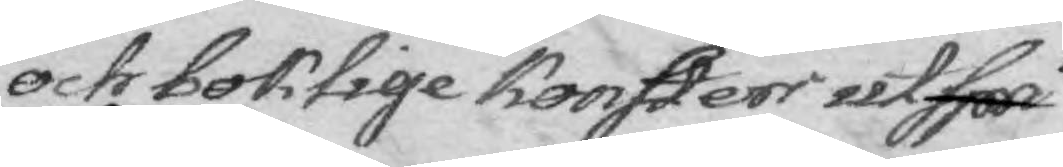och boklige Konsters utspri¬
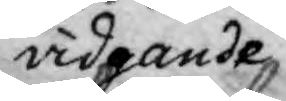vidganden
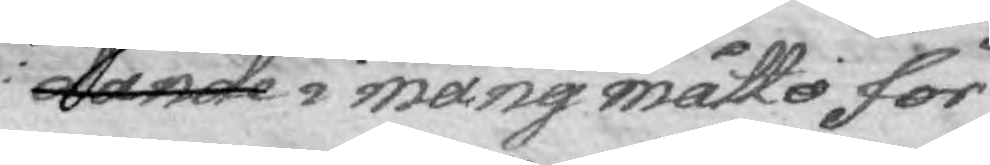dande mång måtto för
